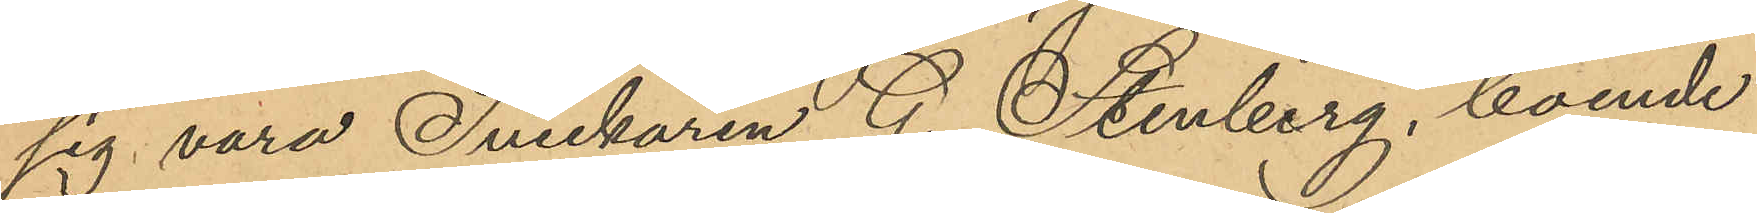sig vara Snickaren G. Stenberg, boende
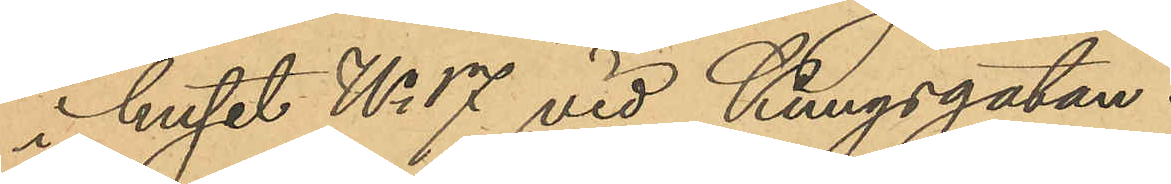i huset No 17 vid Kungsgatan.
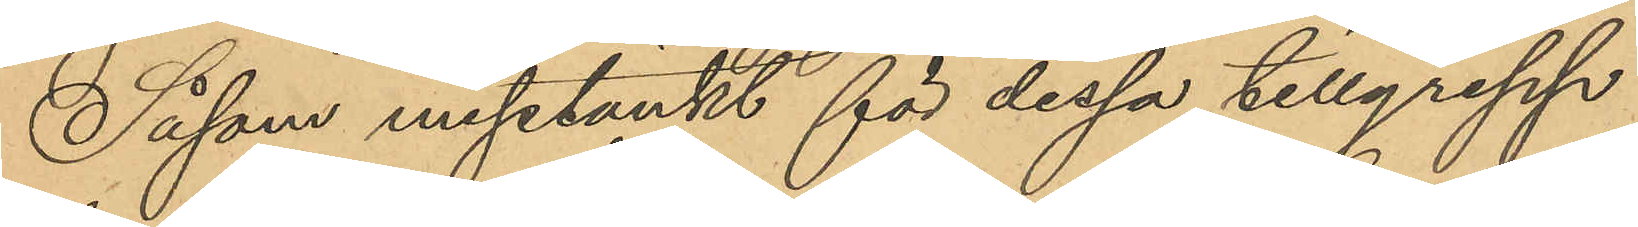Såsom misstänkt för dessa tillgrepp
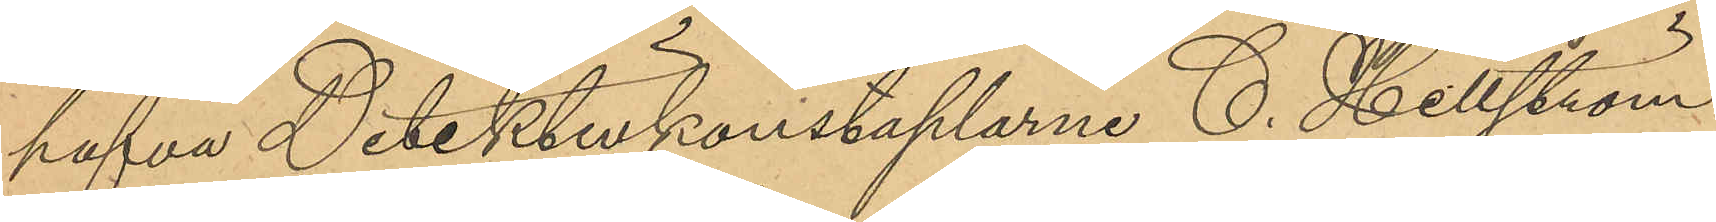hafva Detektivkonstaplarne C. Hellström
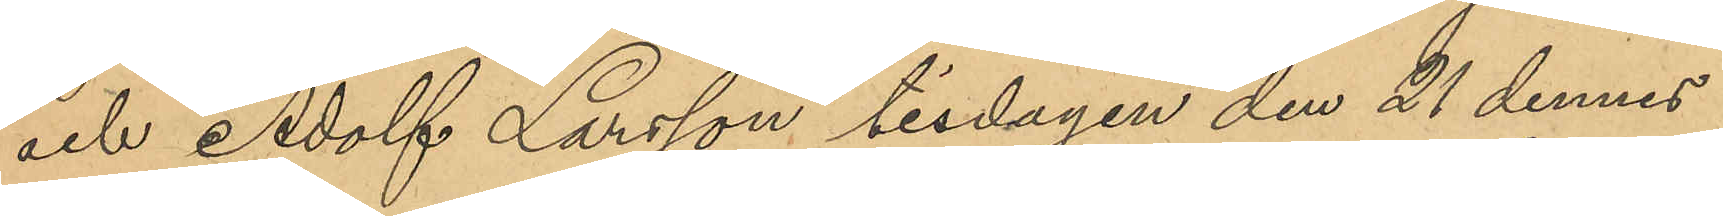och Adolf Larsson tisdagen den 21 dennes
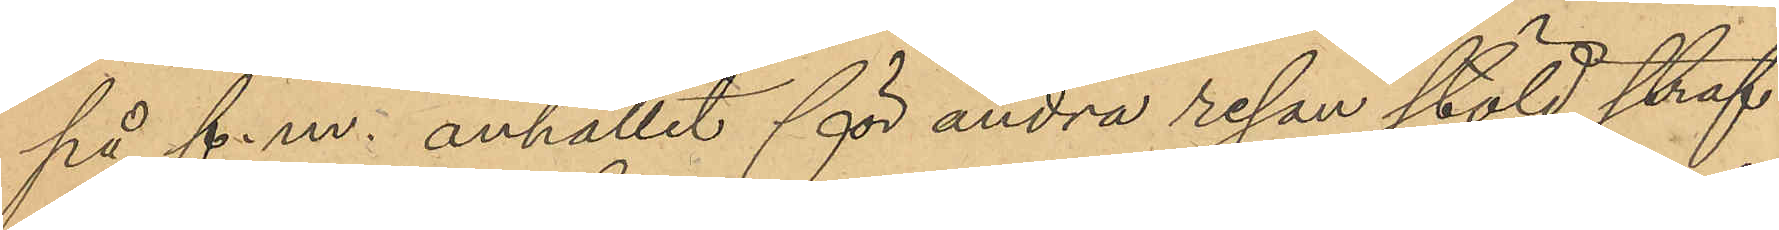på f. m. anhållit för andra resan stöld straf¬
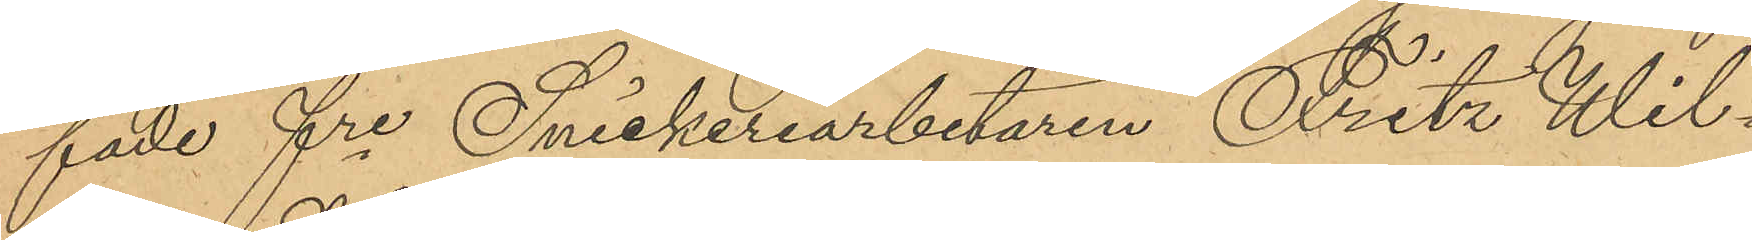fade fre Snickeriarbetaren Fritz Wil¬
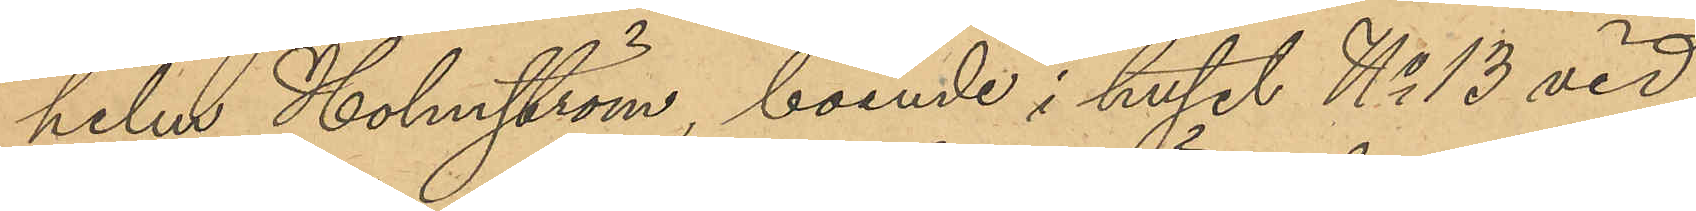helm Holmström, boende i huset No 13 vid
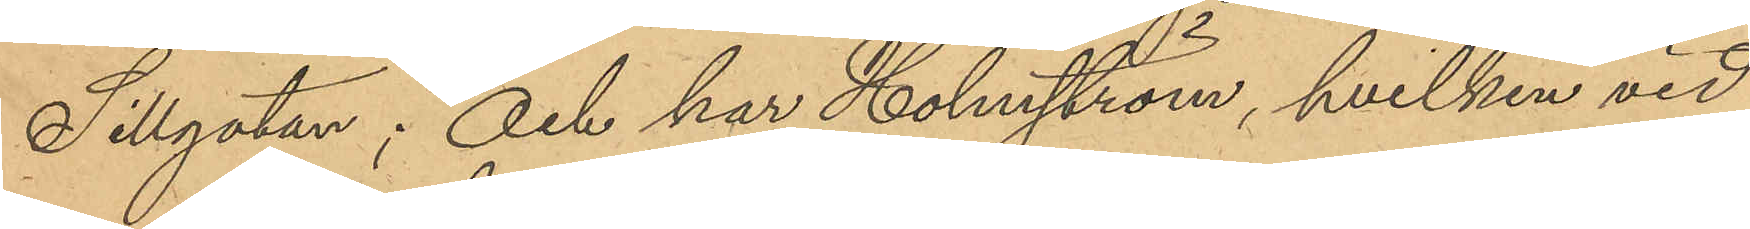Sillgatan; och har Holmström, hvilken vid
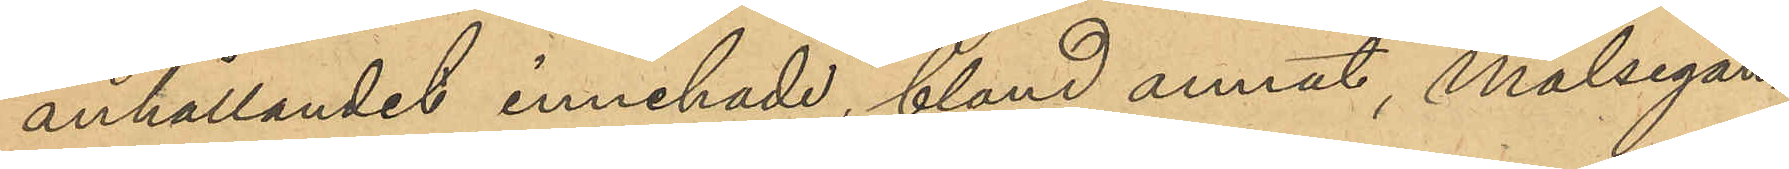anhållandet innehade, bland annat, Målsegan¬
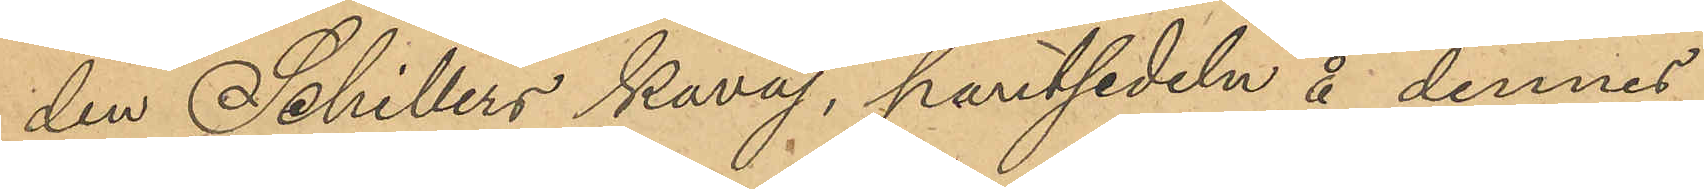den Schillers kavaj, pantsedeln å dennes
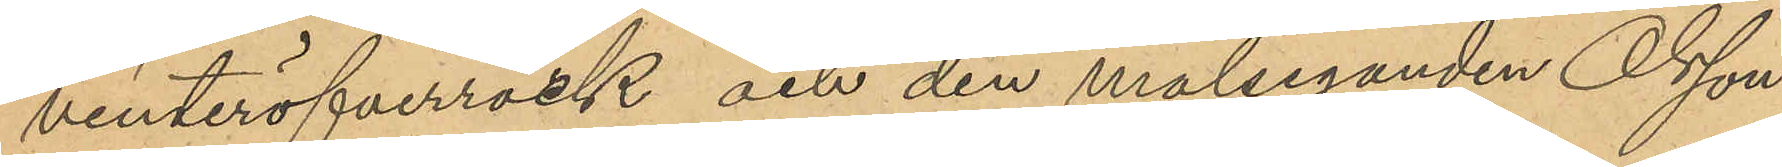vinteröfverrock och den målseganden Olsson
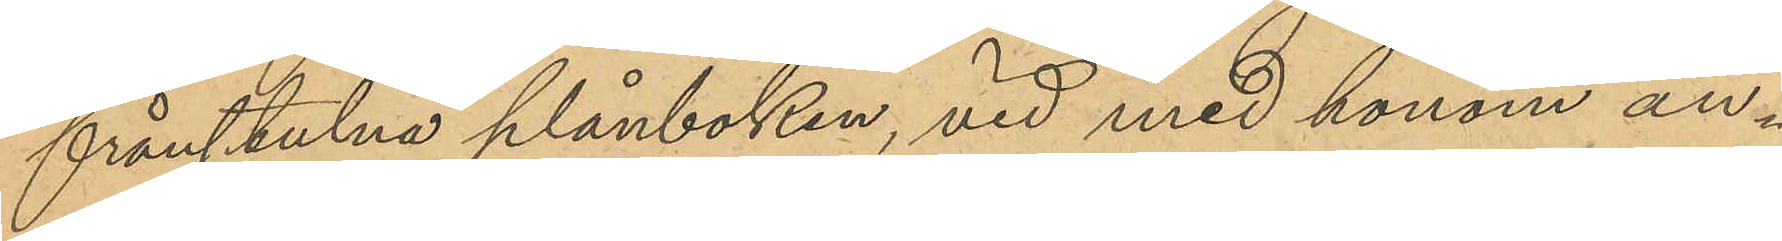frånstulna plånboken, vid med honom an¬
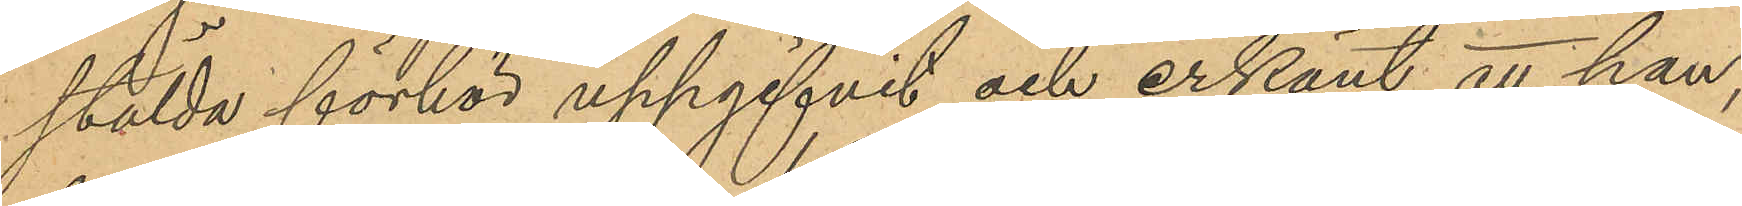stälda förhör uppgifvit och erkänt, att han,
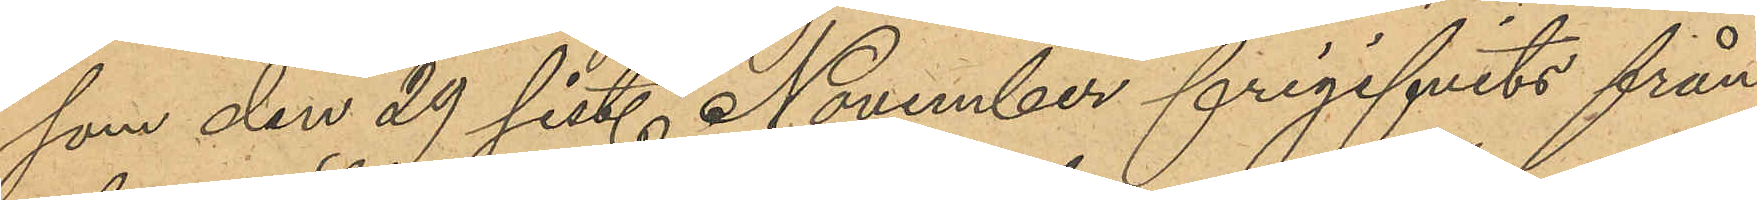som den 29 sist. November frigifvits från
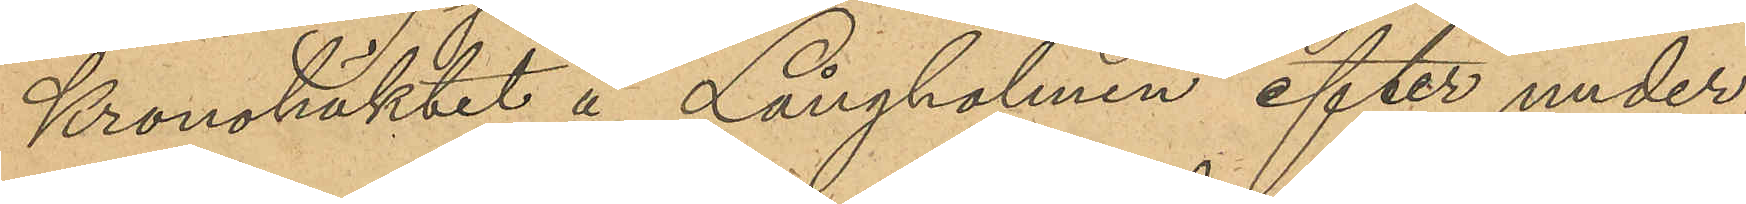Kronohäktet å Långholmen efter under¬
